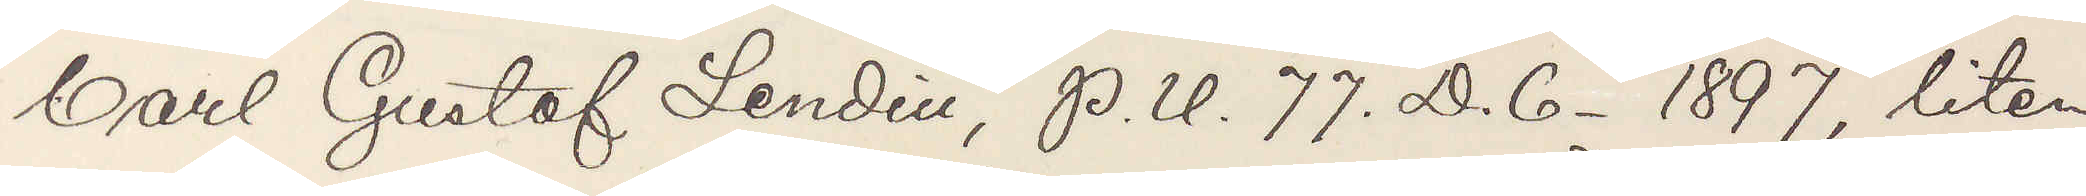Carl Gustaf Lendin, P. U. 77. D.6- 1897, liten
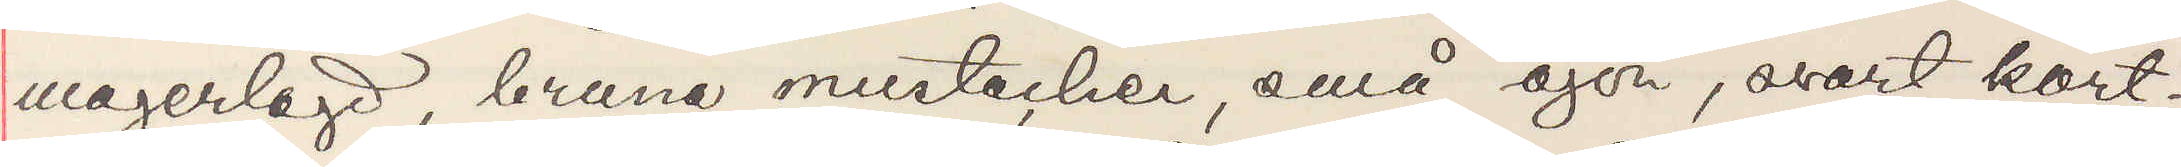magerlagd, bruna mustacher, små öjon, svart kort¬
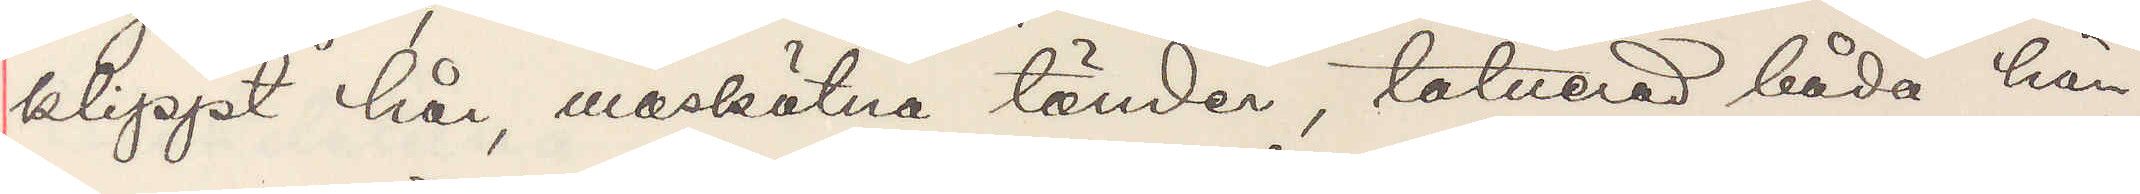klippt hår, maskätna tänder, tatuerad båda hän¬
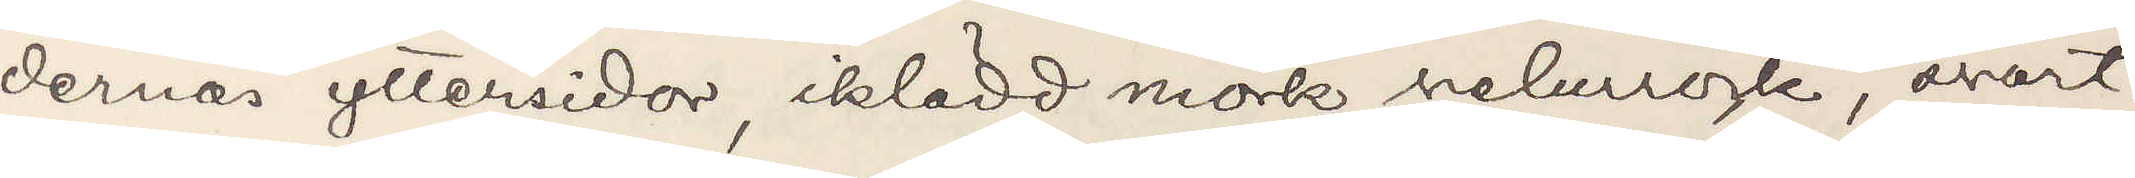dernas yttersida, iklädd mörk velurrock, svart
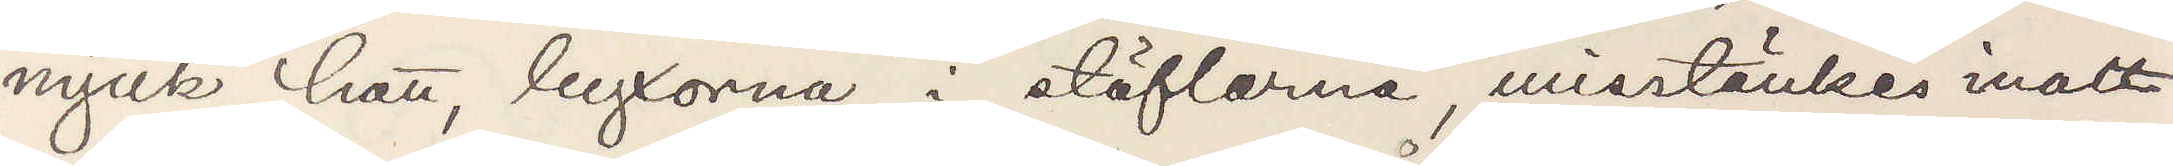mjuk hatt, byxorna i stöflarna, misstänkes inatt
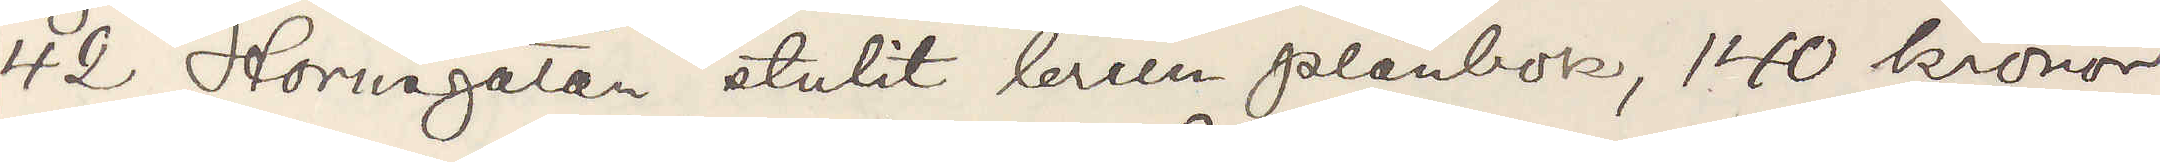42 Hornsgatan stulit brun plånbok, 140 kronor
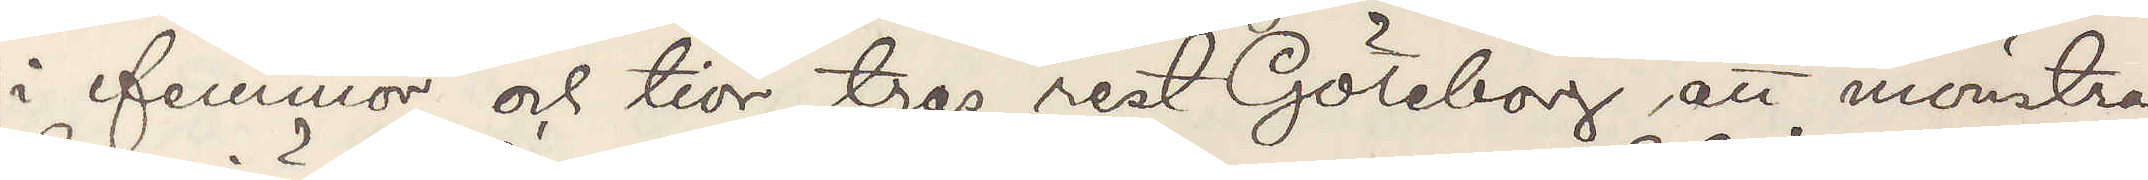i femmor och tior, tros rest Göteborg att mönstra
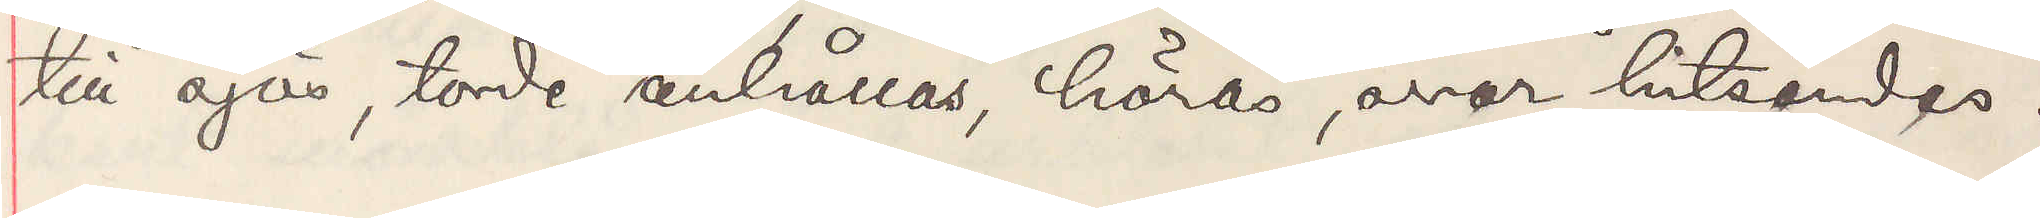till sjös, torde anhållas, höras, svar hitsändes.
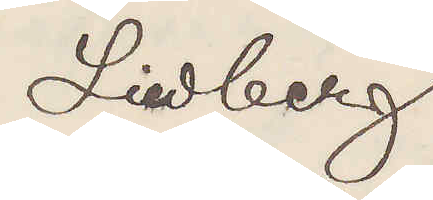Liedberg
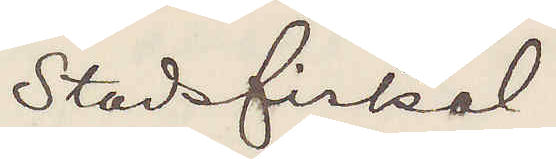Stadsfiskal
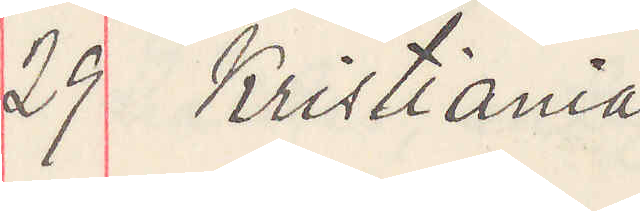29 Kristiania
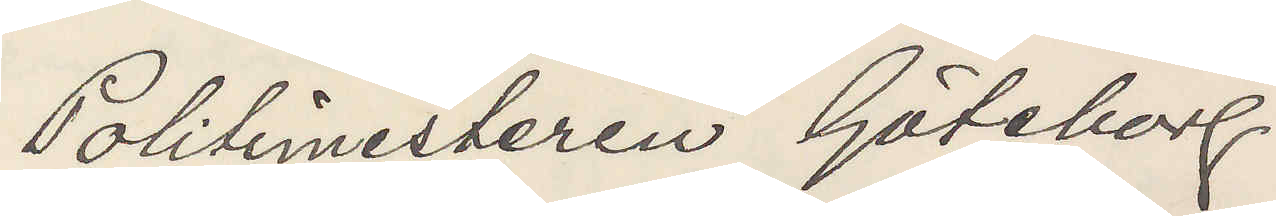Politimesteren Göteborg
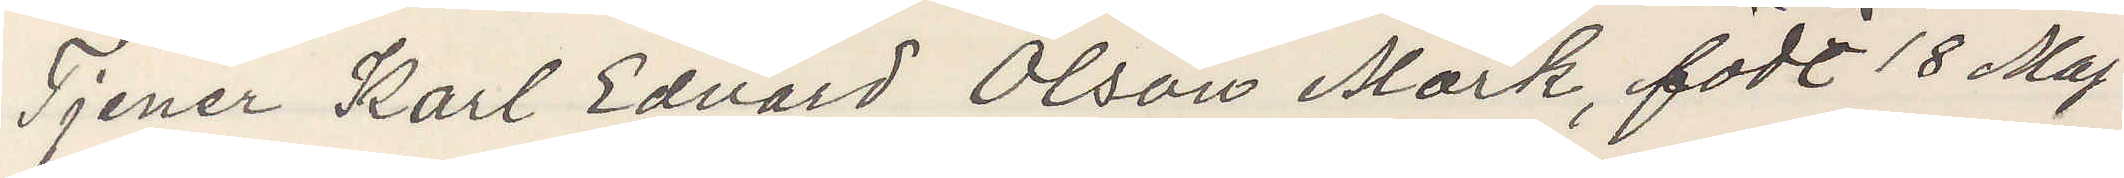Tjener Karl Edvard Olson Mörk, födt 18 Maj
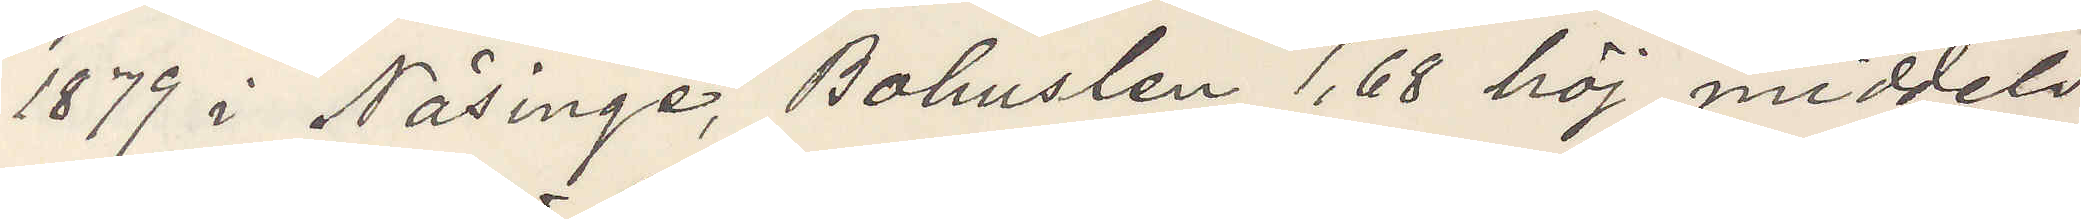1879 i Näsinge, Bohuslän 1,68 höj middels
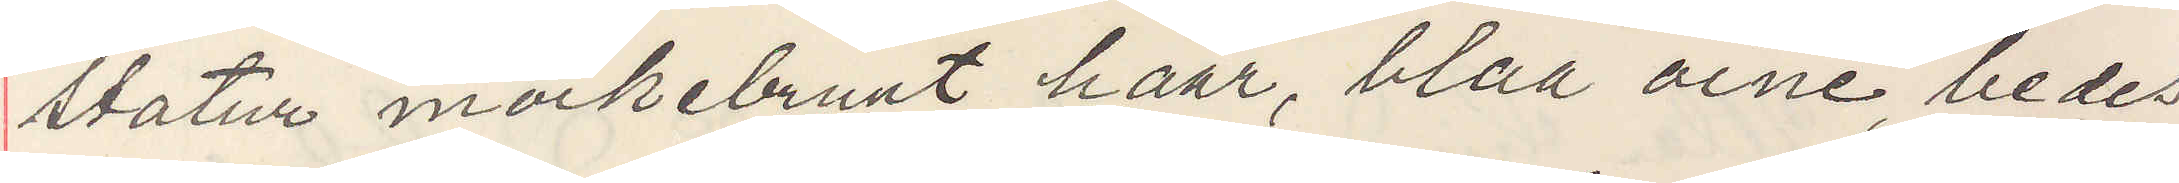statur mörkebrunt haar, blaa öine, bedes
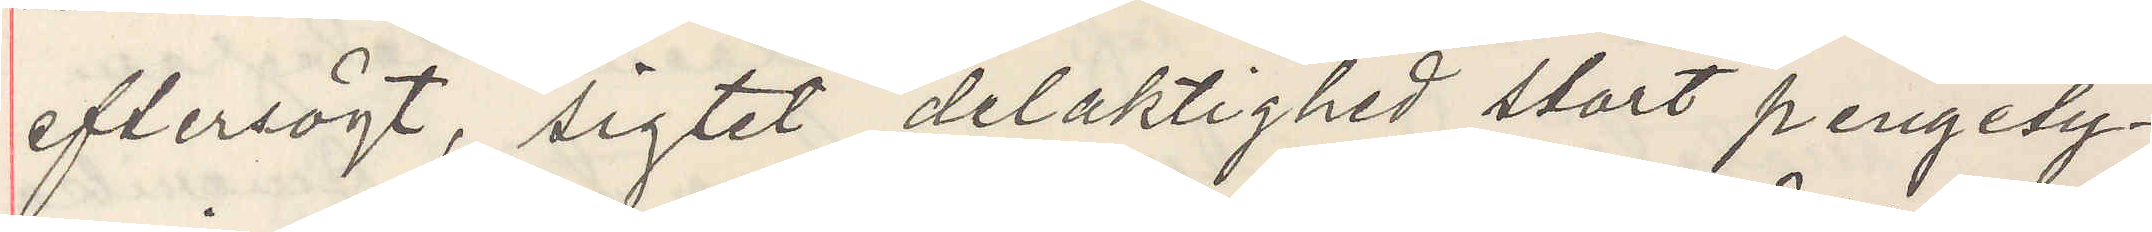eftersögt, sigtet delaktighed stort pengety¬
